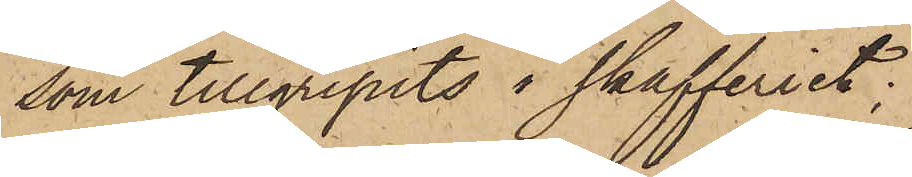som tillgripits i skafferiet;
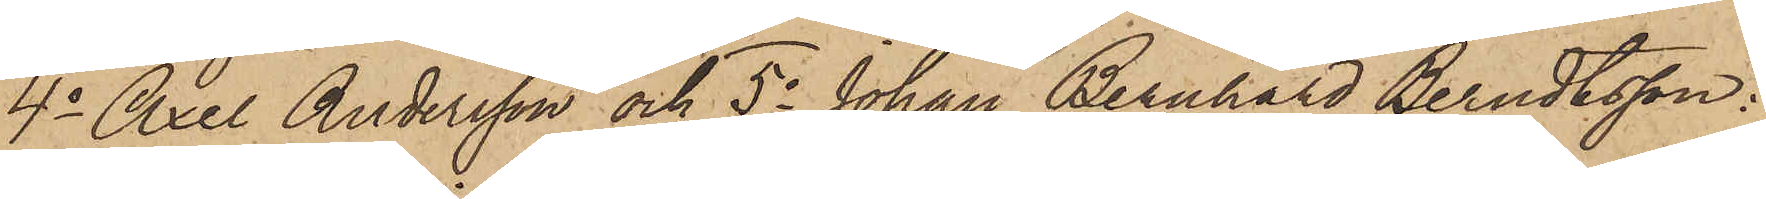4o Axel Andersson och 5o Johan Bernhard Berndtsson:
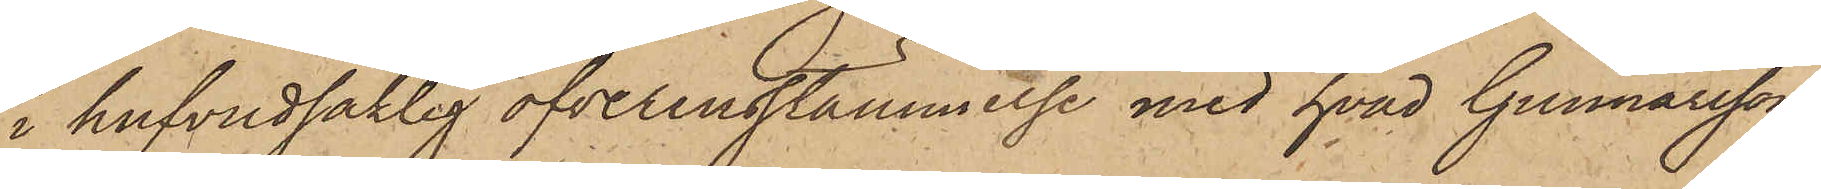i hufvudsaklig öfverensstämmelse med hvad Gunnarsson
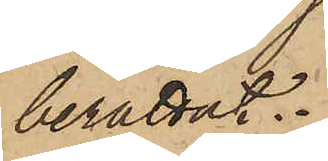berättat.
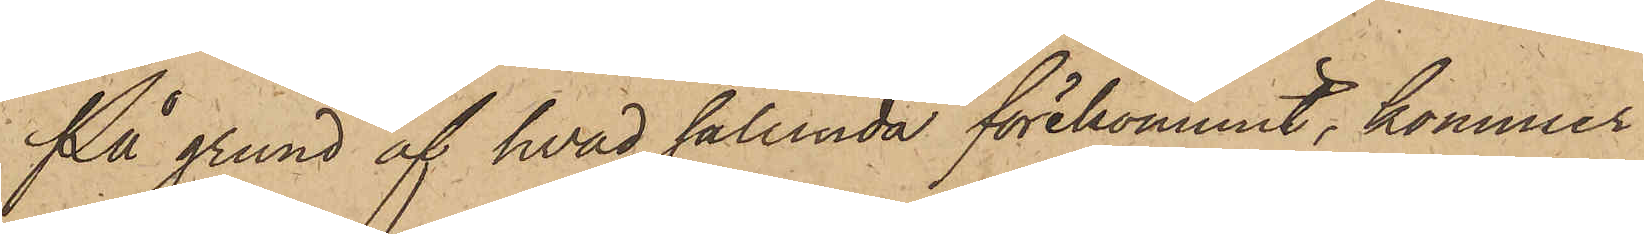På grund af hvad sålunda förekommit, kommer
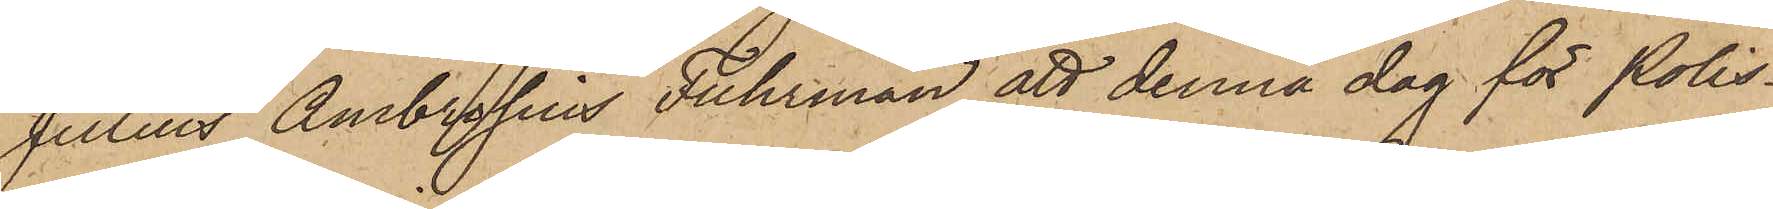Julius Ambrosius Fuhrman att denna dag för Polis¬
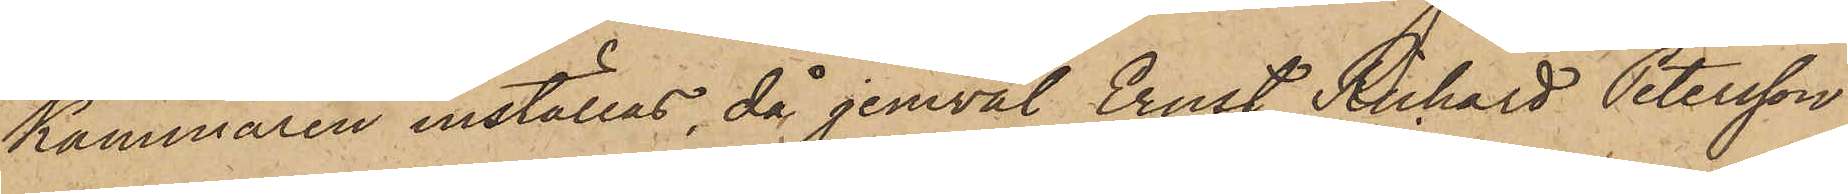kammaren inställas, då jemväl Ernst Richard Petersson
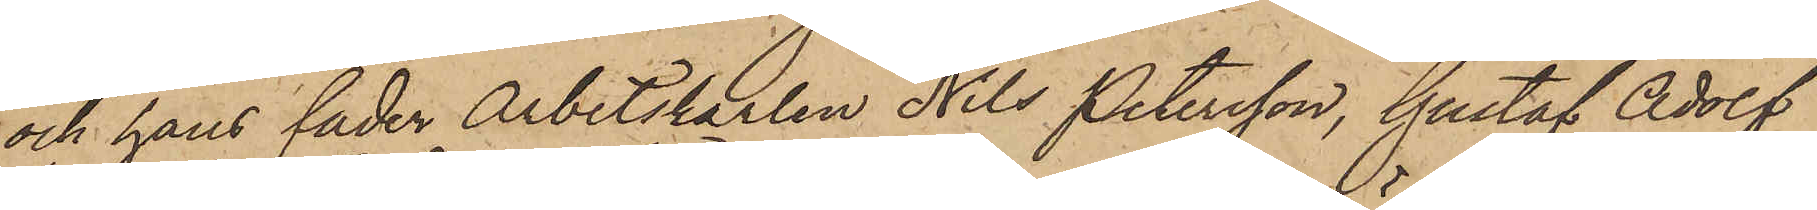och hans fader Arbetskarlen Nils Petersson, Gustaf Adolf
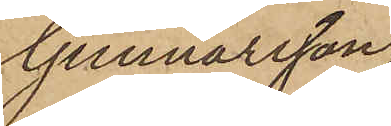Gunnarsson,
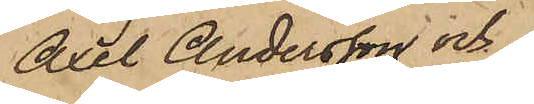Axel Andersson och
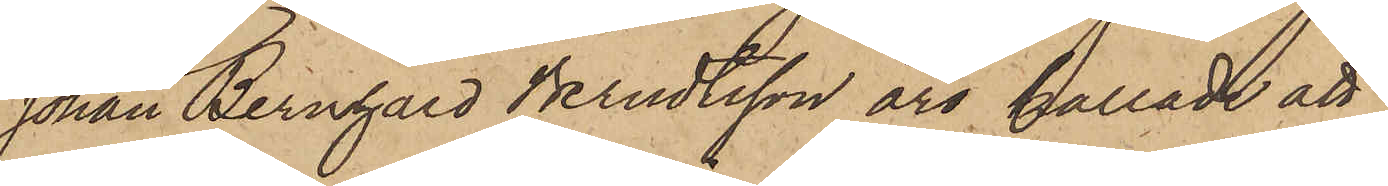Johan Bernhard Berndtsson äro kallade att
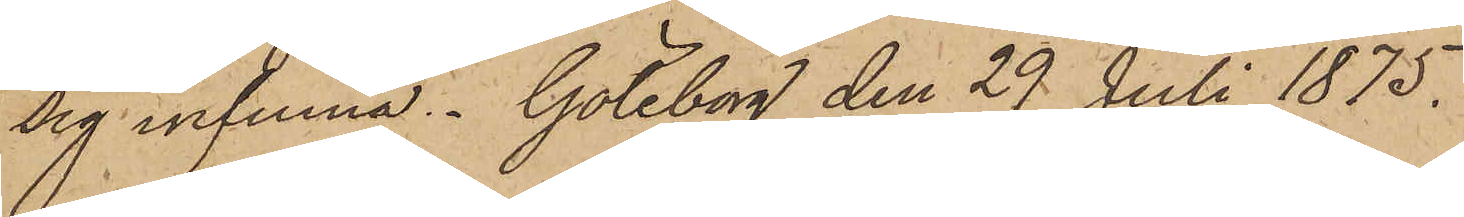sig infinna. Göteborg den 29 Juli 1875.
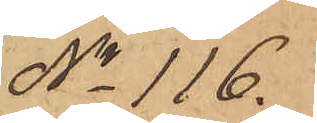No 116.
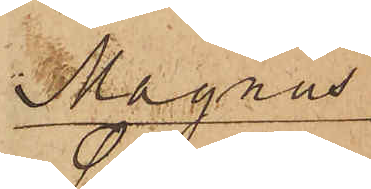Magnus
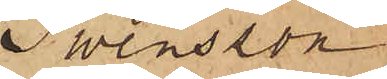Swensson
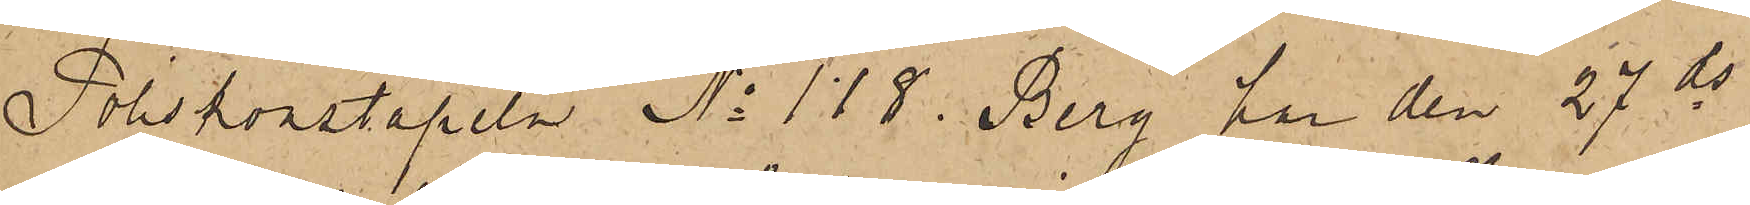Poliskonstapeln No 118 Berg har den 27 ds
